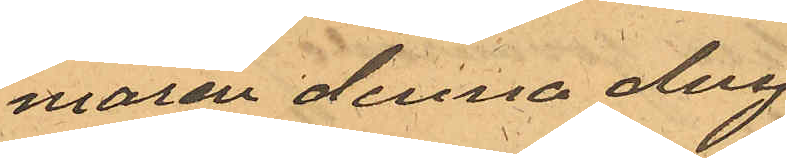maren denna dag.
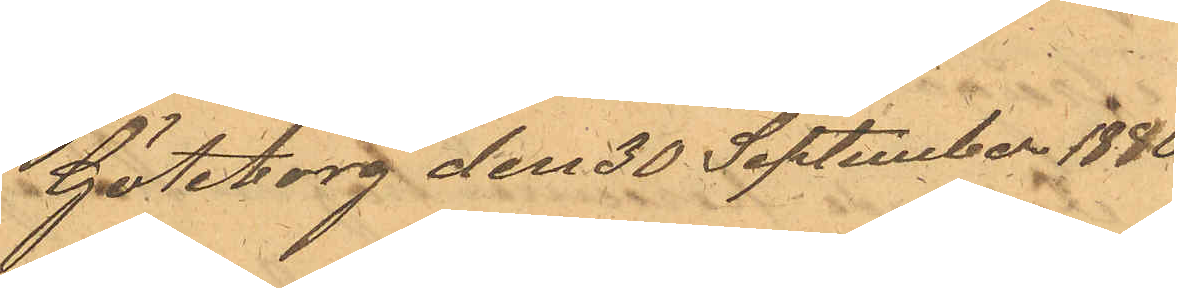Göteborg den 30 September 1880.
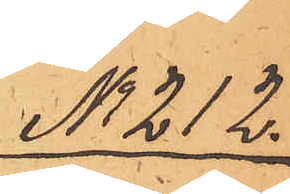No 212.
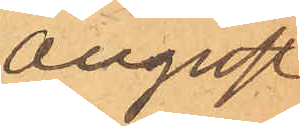August
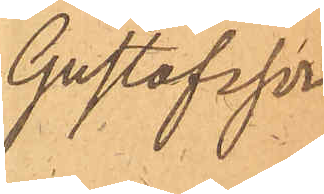Gustafsson
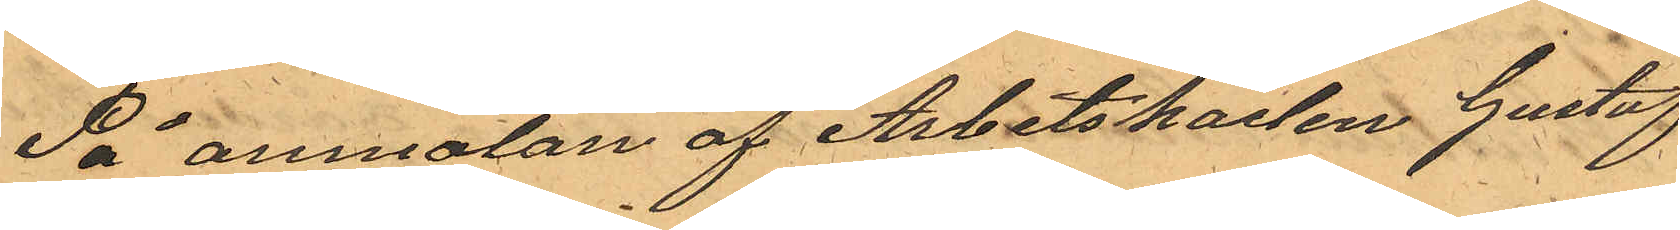På anmalan af Arbetskarlen Gustaf
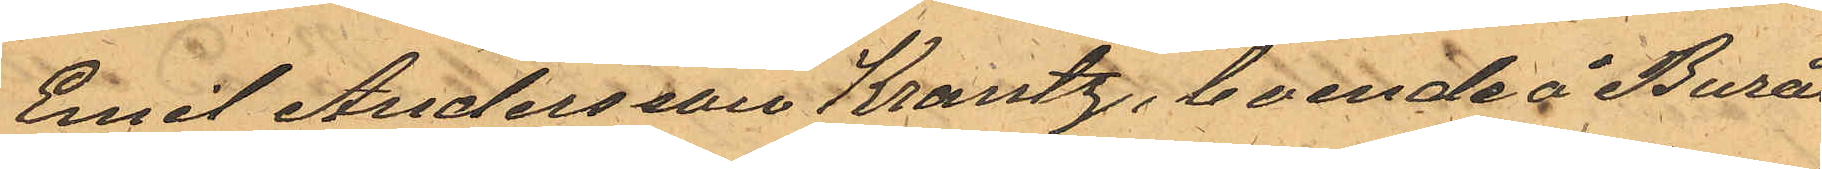Emil Andersson Krantz, boende å Burås
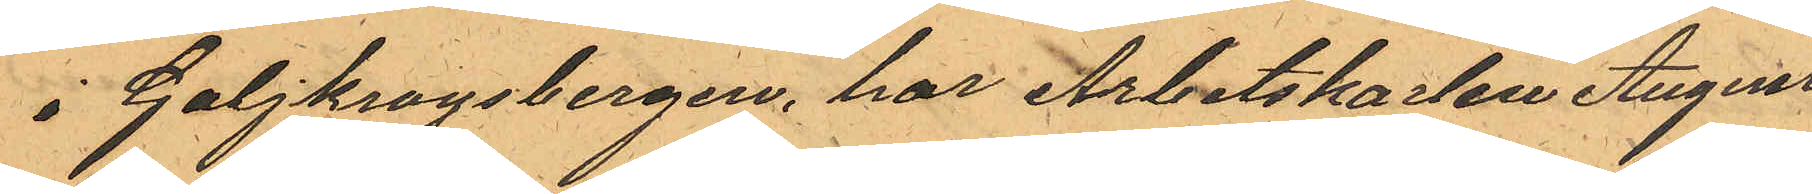i Galjkrogsbergen, har Arbetskarlen August
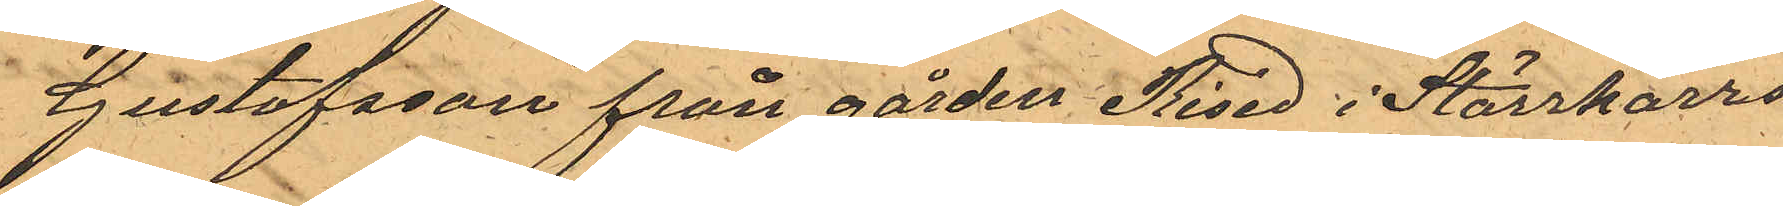Gustafsson från gården Rised i Stärrkarrs
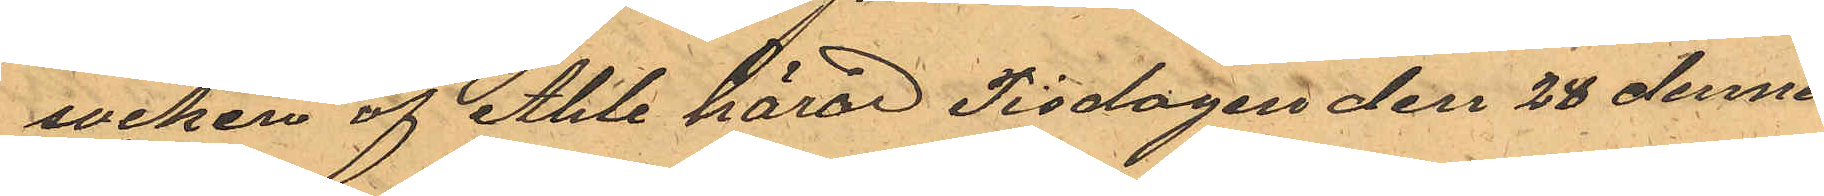socken af Ahle härad Tisdagen den 28 dennes
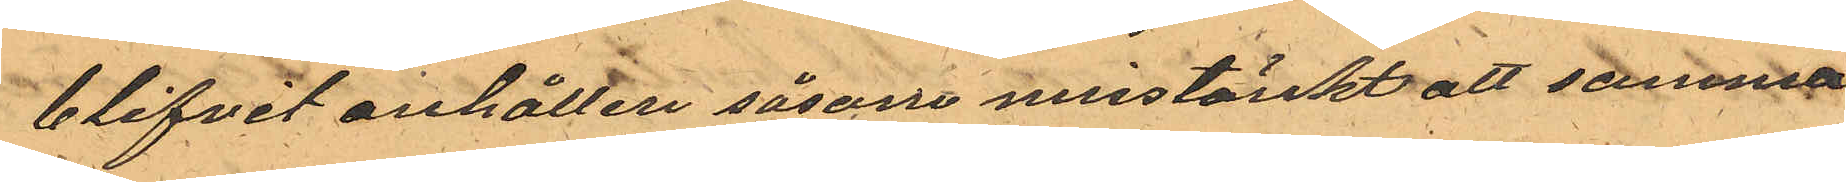blifvit anhållen såsom misstänkt att samma
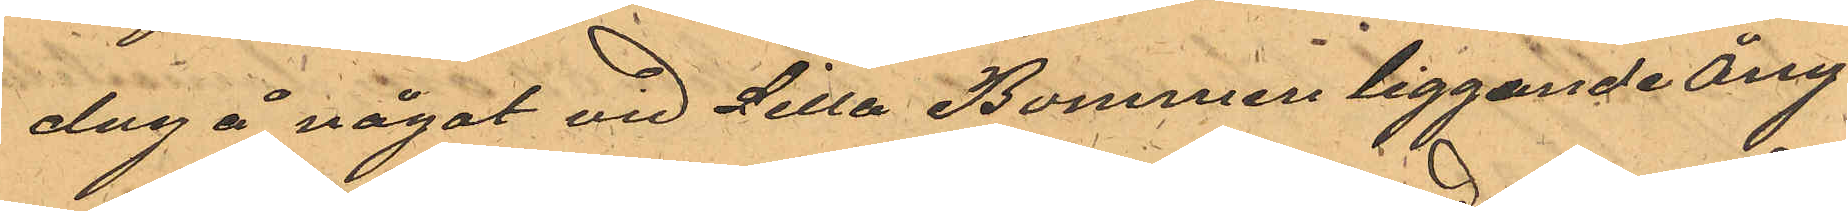dag å något vid Lilla Bommen liggande ång¬
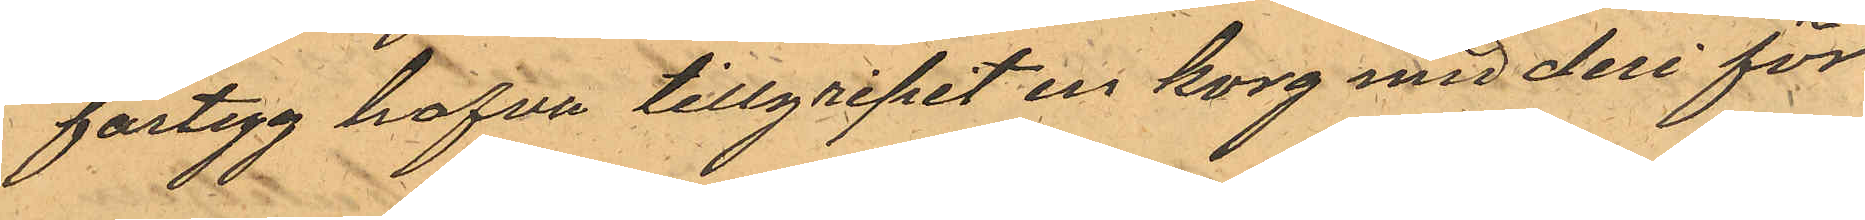fartyg hafva tillgripit en korg med deri för¬
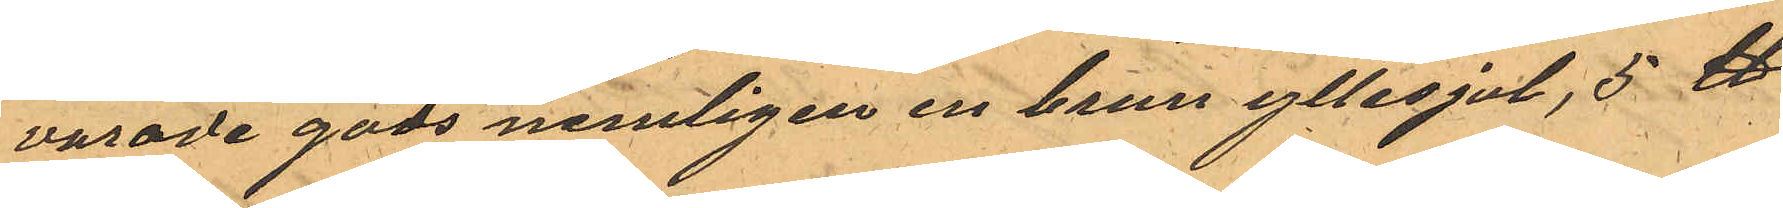varade gods nemligen en brun yllesjal, 5 ℔
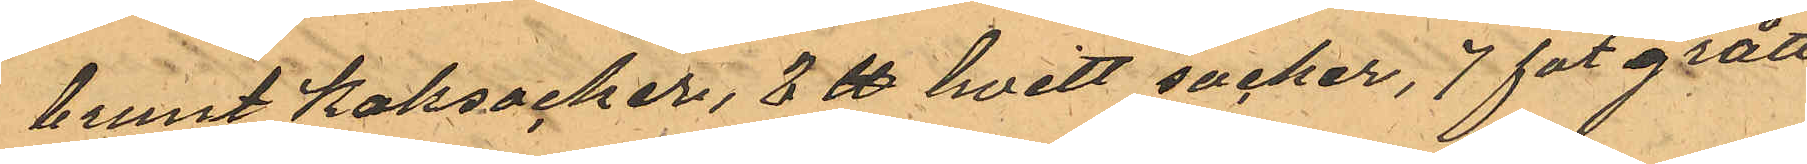brunt Kaksocker, 3 ℔ hvitt socker, 7 fot grått
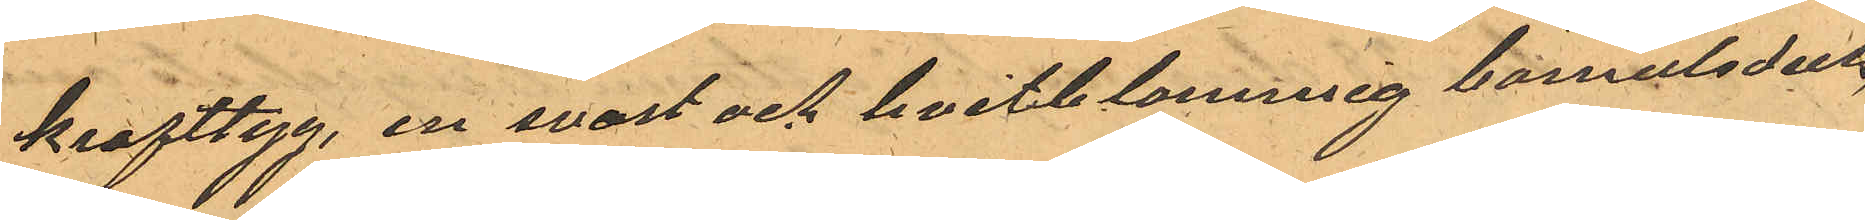krafttyg, en svart och hvitblommig bomulsduk,
